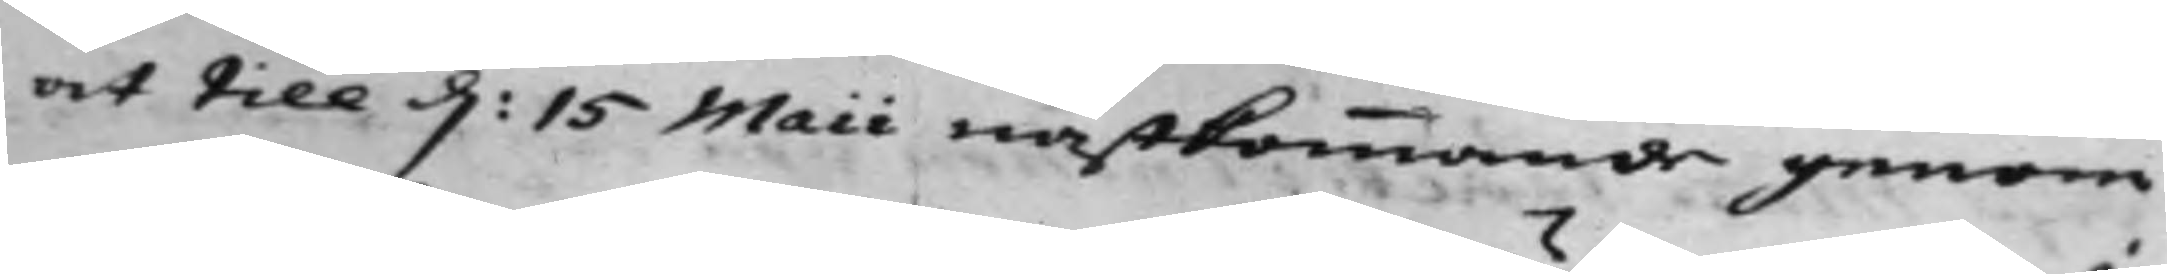at till d: 15 Maii nästkommande genom
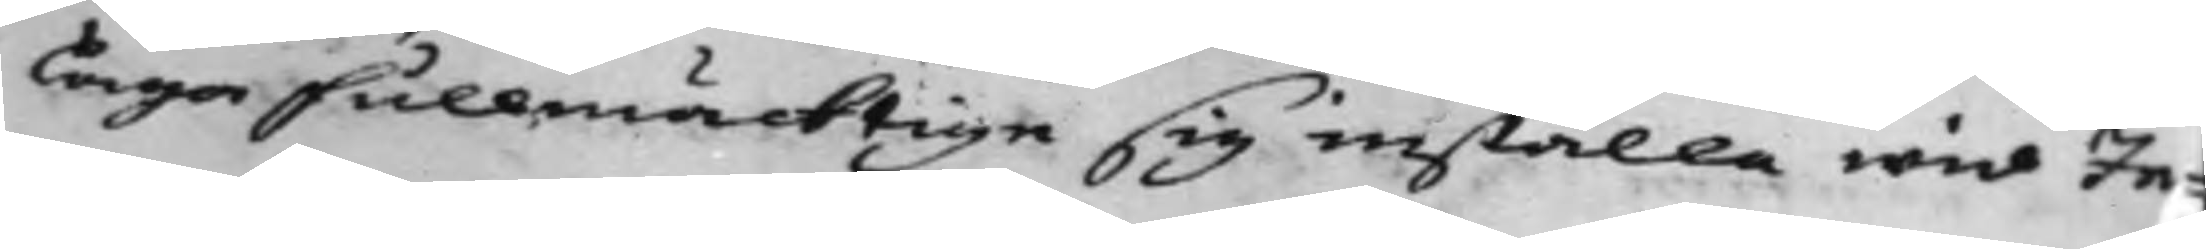Laga fullmäcktige sig inställa wid In¬
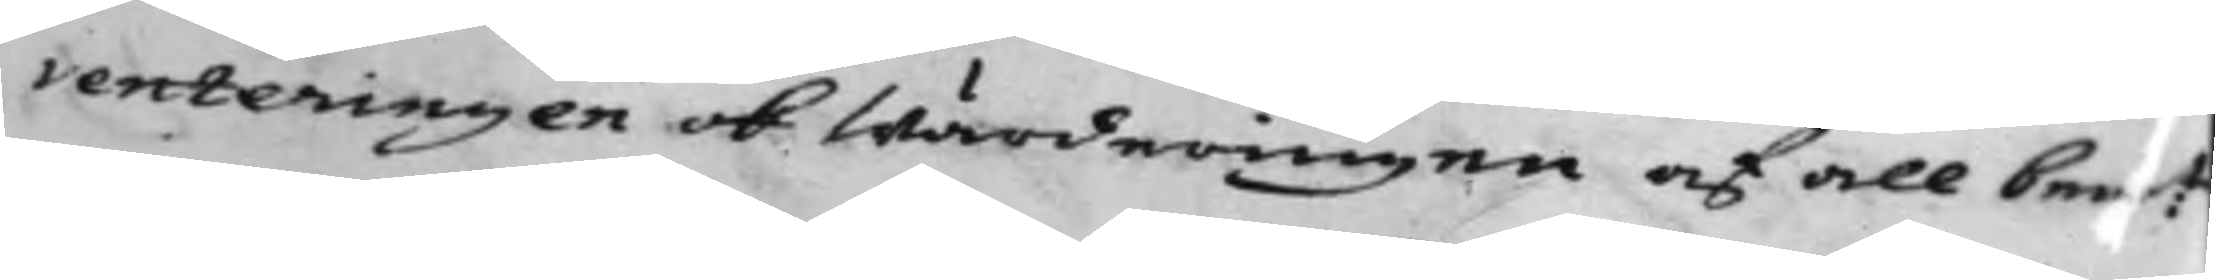venteringen ok Wärderingen af all bem:t
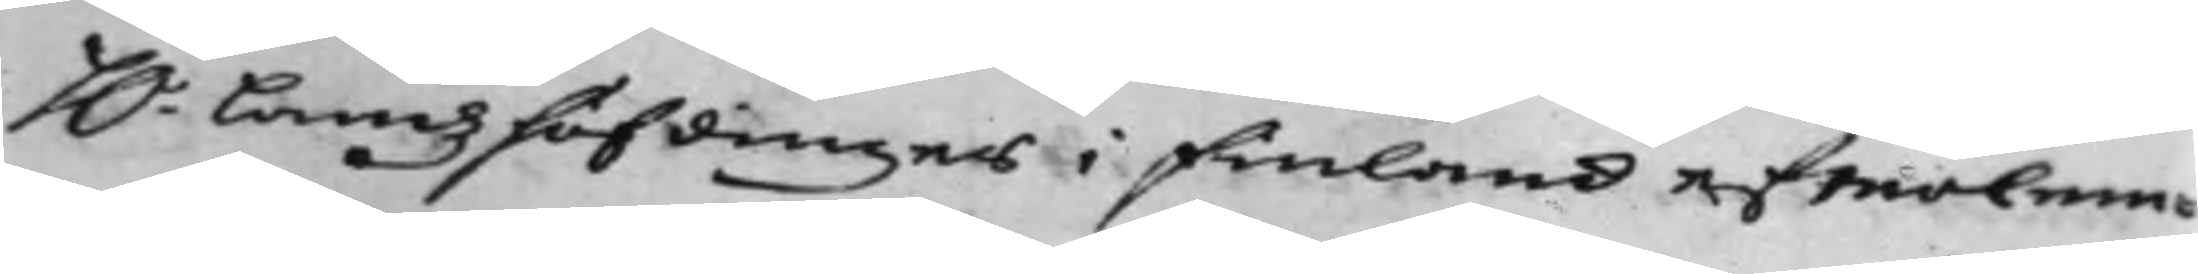H.r Landshöfdinges i Finland efterlem¬
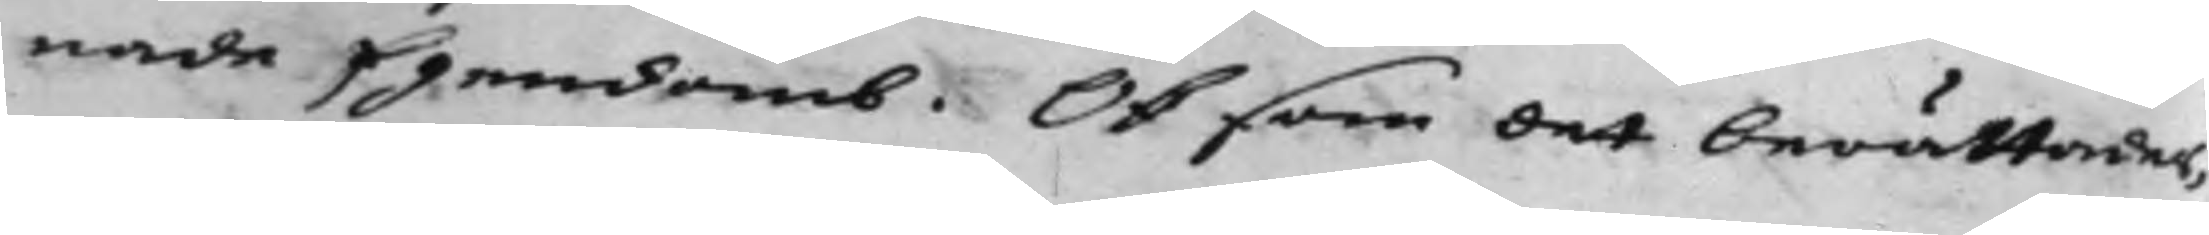nade Egendomb. Ok som det berättades,
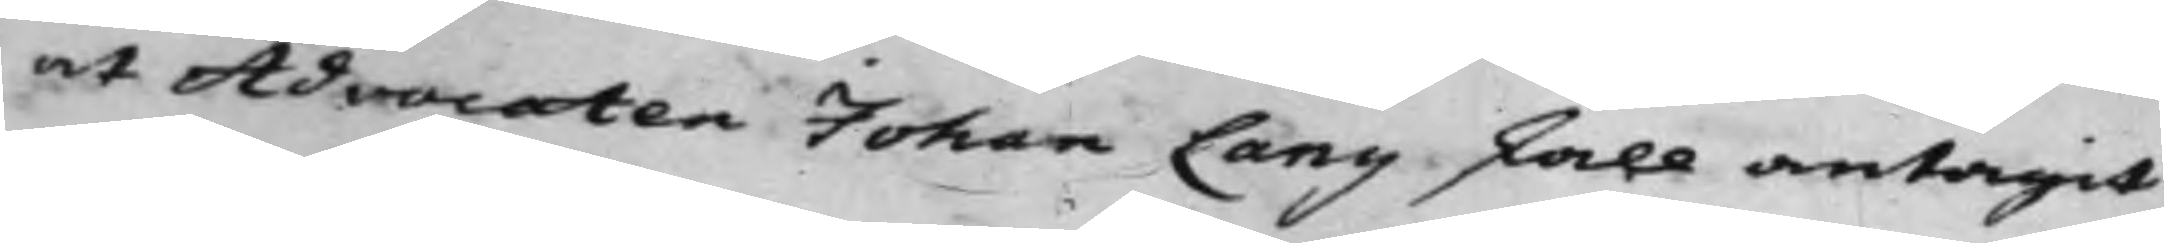at Advocaten Johan Lang skall antagit
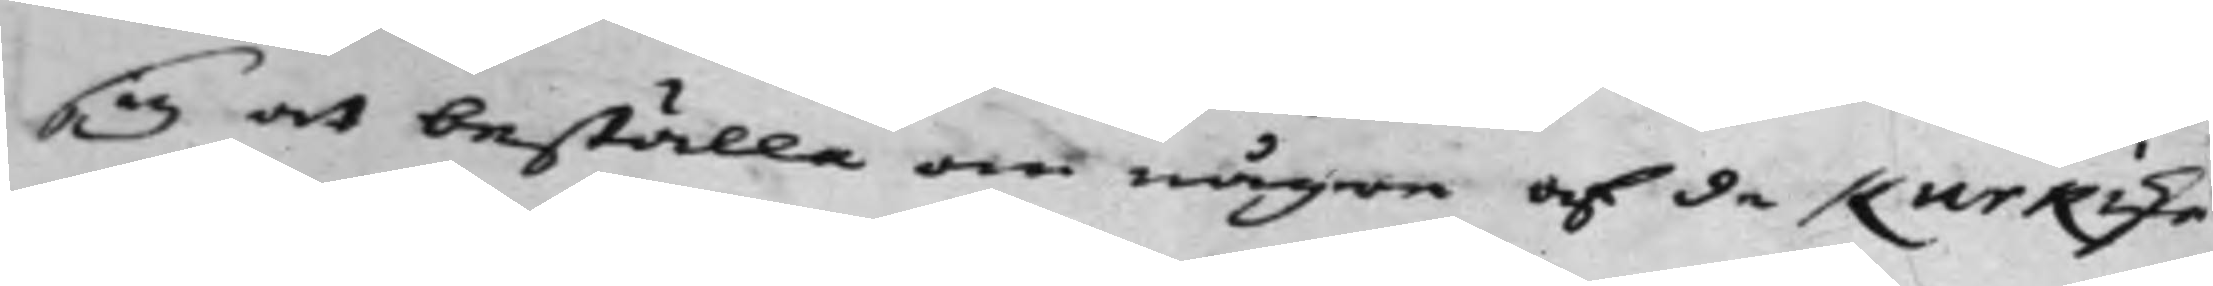sig att beställa om någre af de Kurkiske
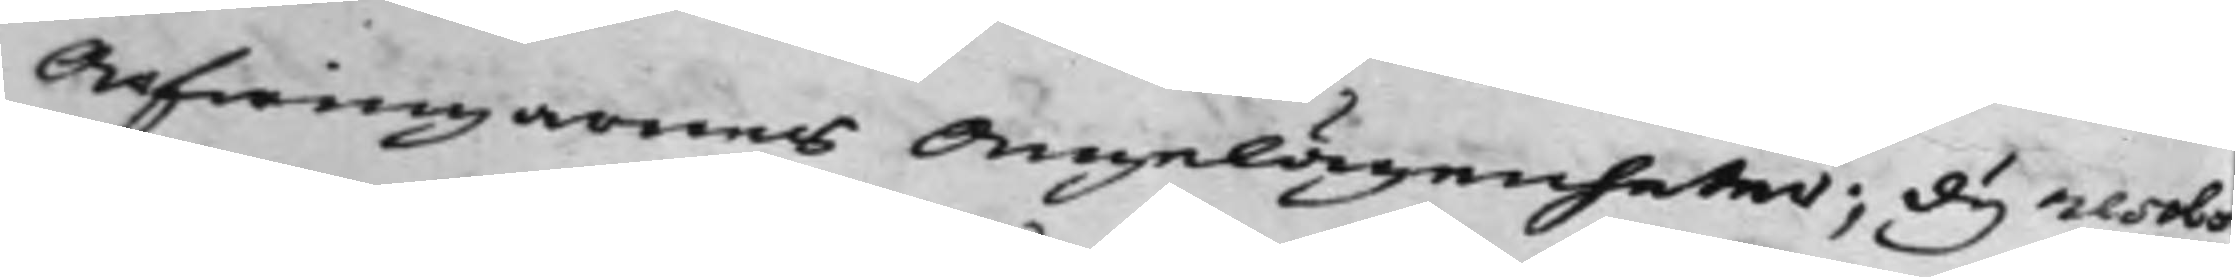Arfwingarnas Angelägenheter; Dy resol¬
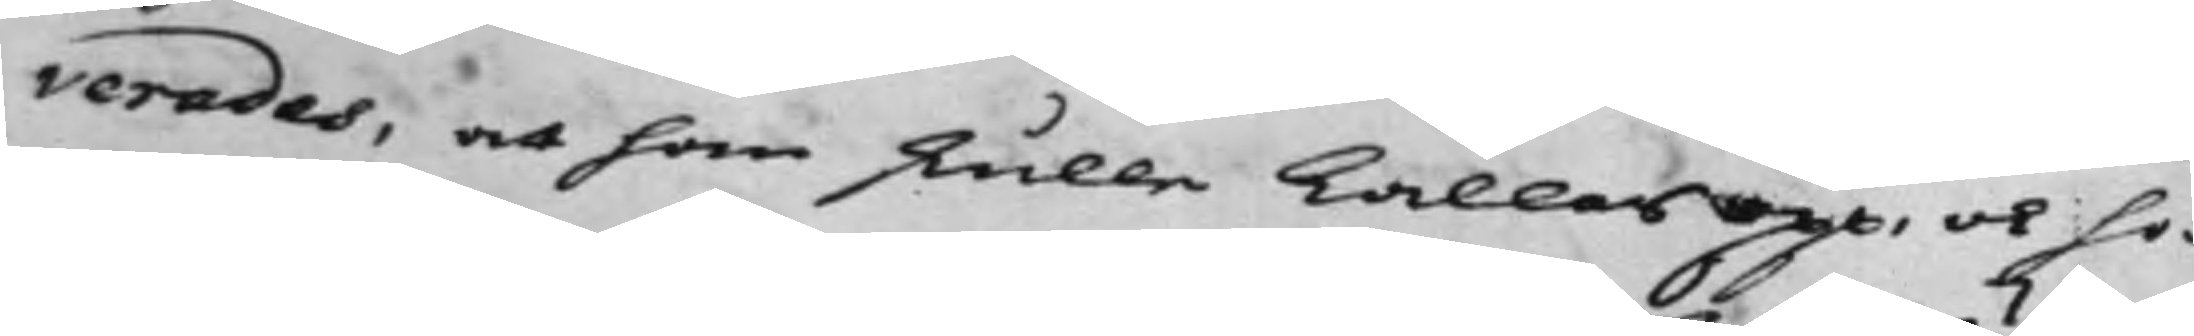verades, at han skulle kallas opp, ok ho¬
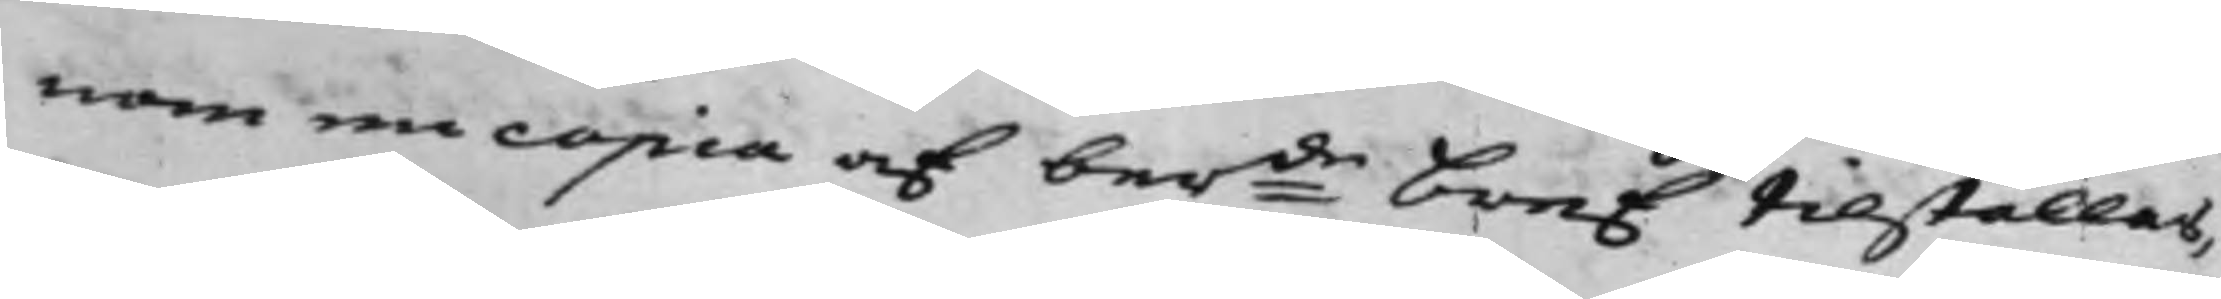nom en copia af ber:de Bref tilställas,
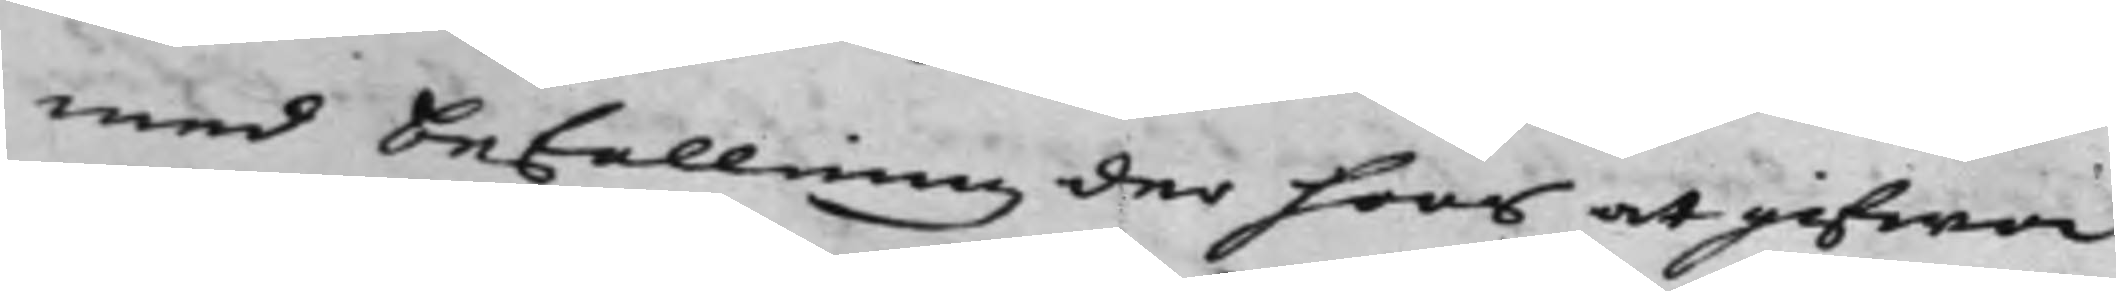med Befallning der hoos at gifwa
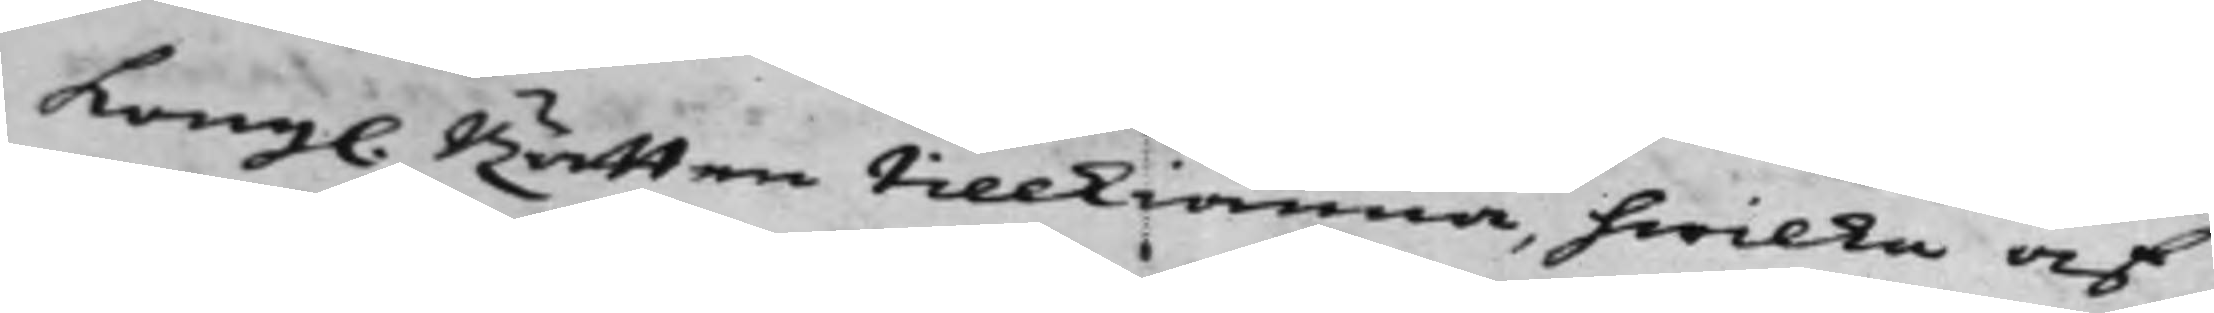Kong. Rätten tillkiänna, hwilka af
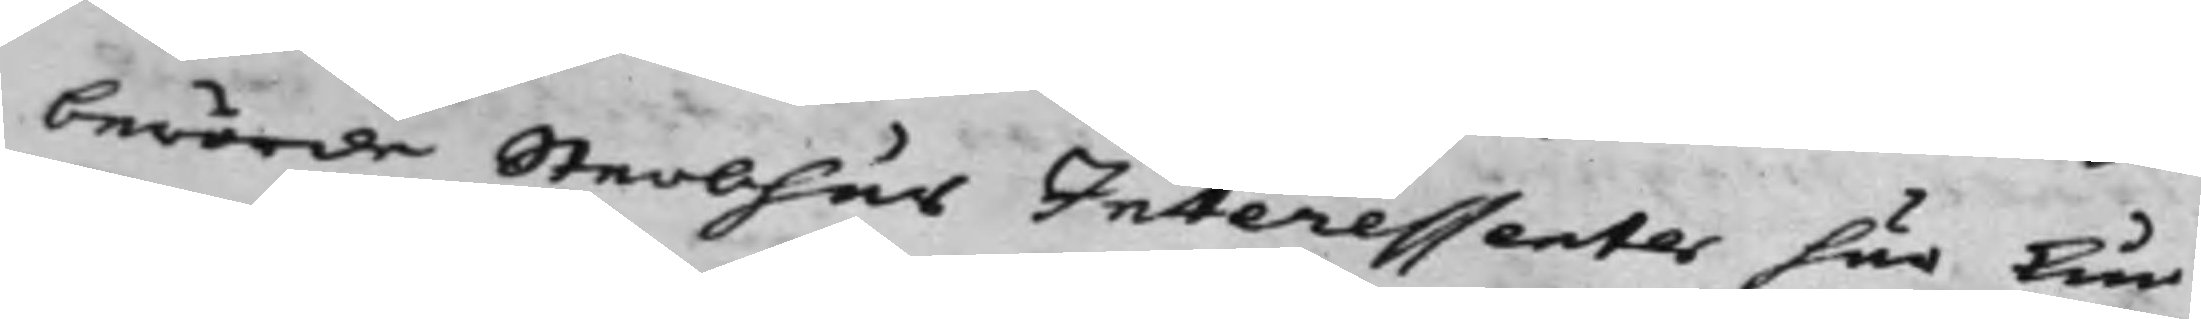berörde Sterbhus Interessenter här kun¬
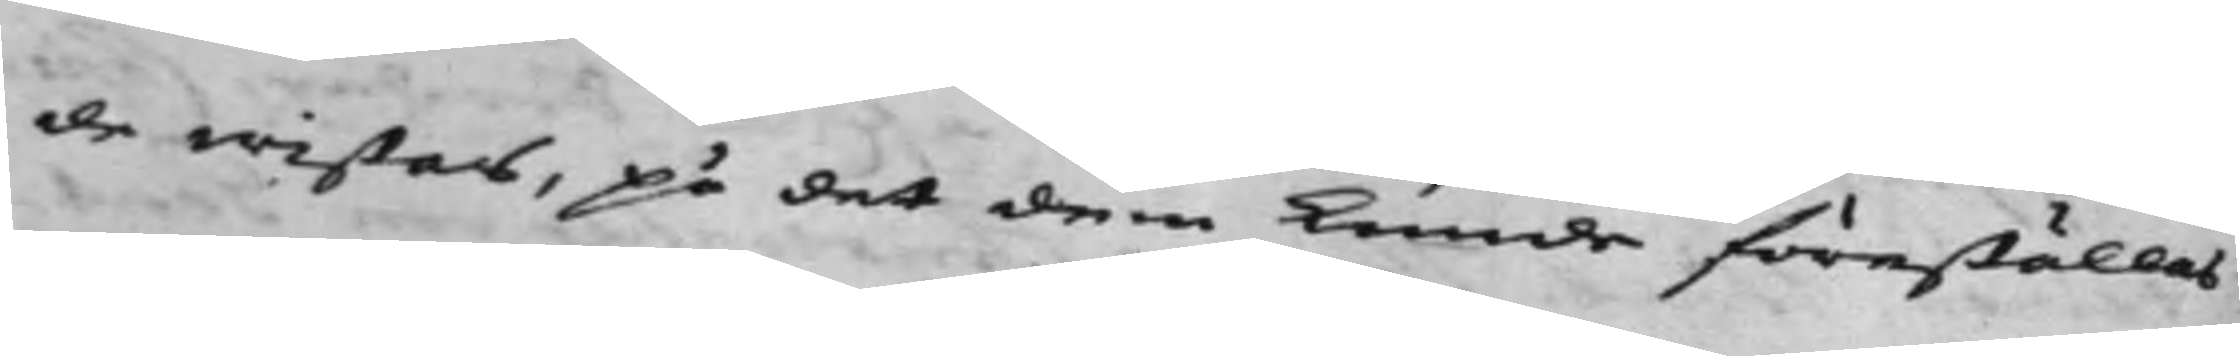de wistas, på det dem kunde föreställas,
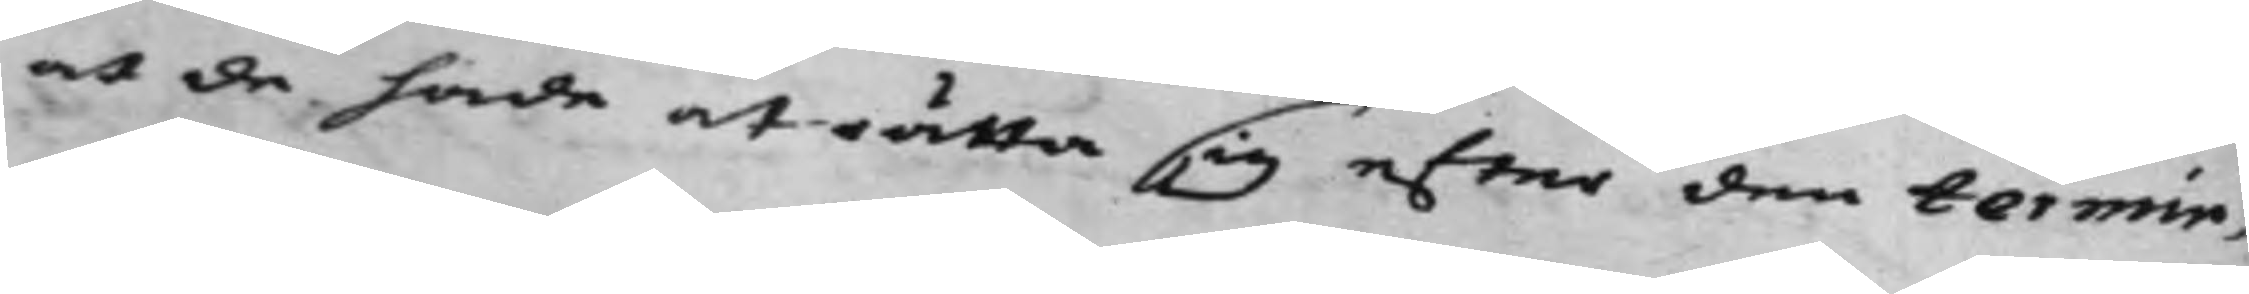at de hade at rätta sig efter den termin,
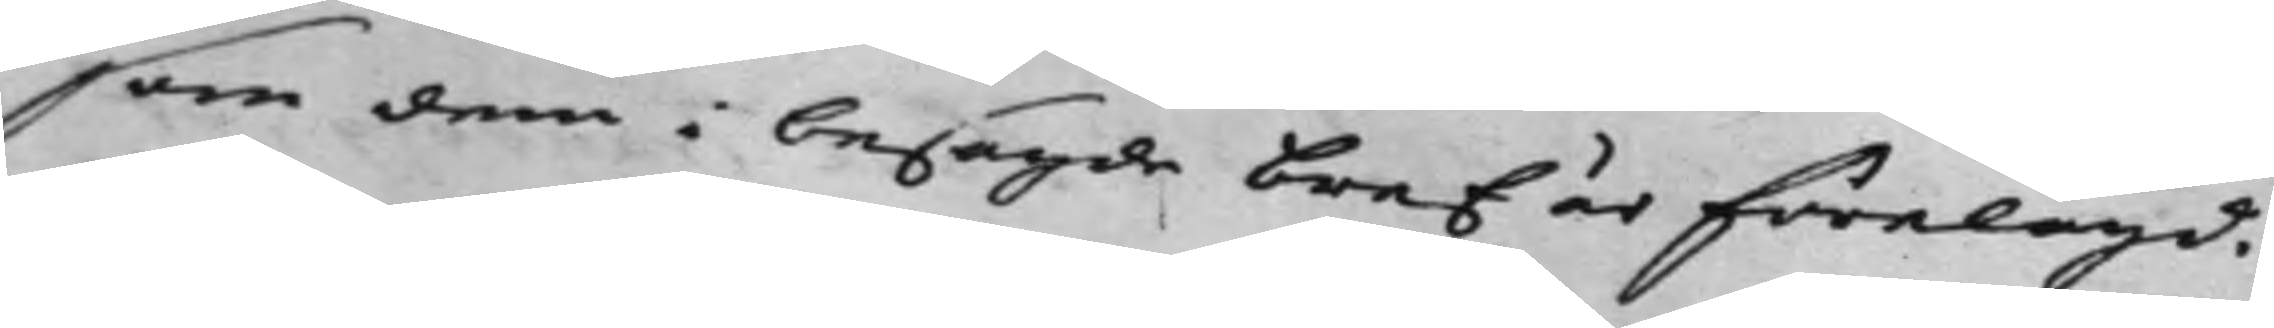som dem i besagde Bref är förelagd.
